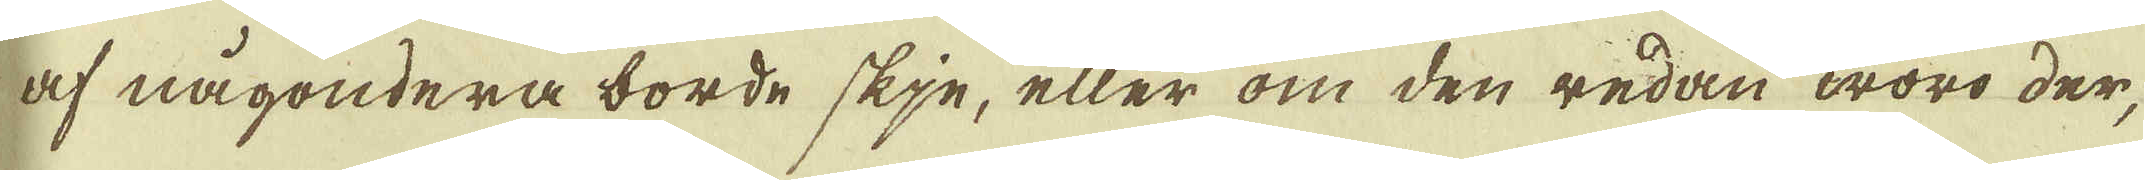af någondera borde skje, eller om den redan woro der,
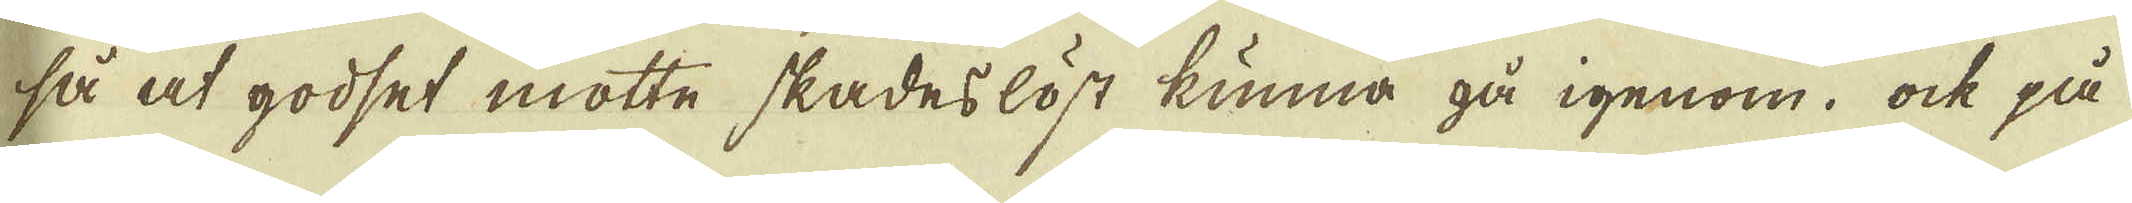så at godset motte skadeslöst kunna gå igenom, ock på
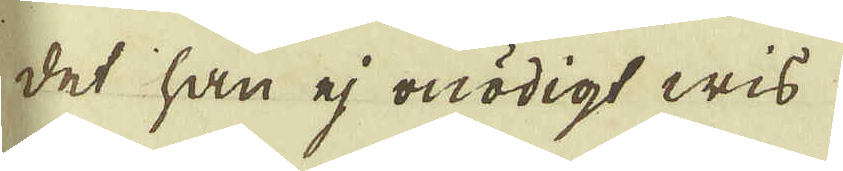det han ej onödigt wis
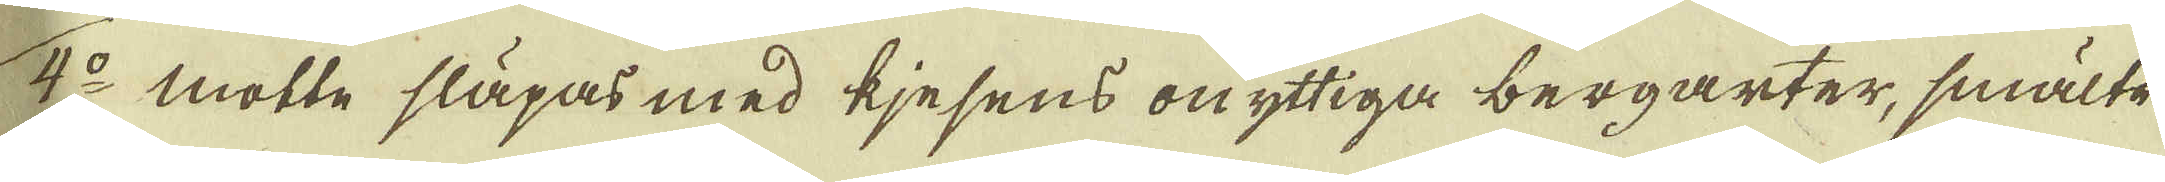4:o motte släpas med kjesens onyttiga bergarter, smälte
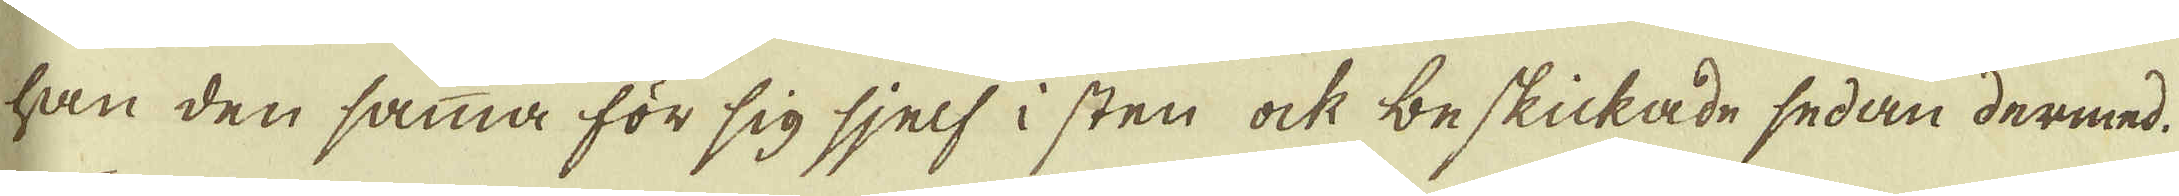han den samma för sig sjelf i sten ock beskickade sedan dermed.
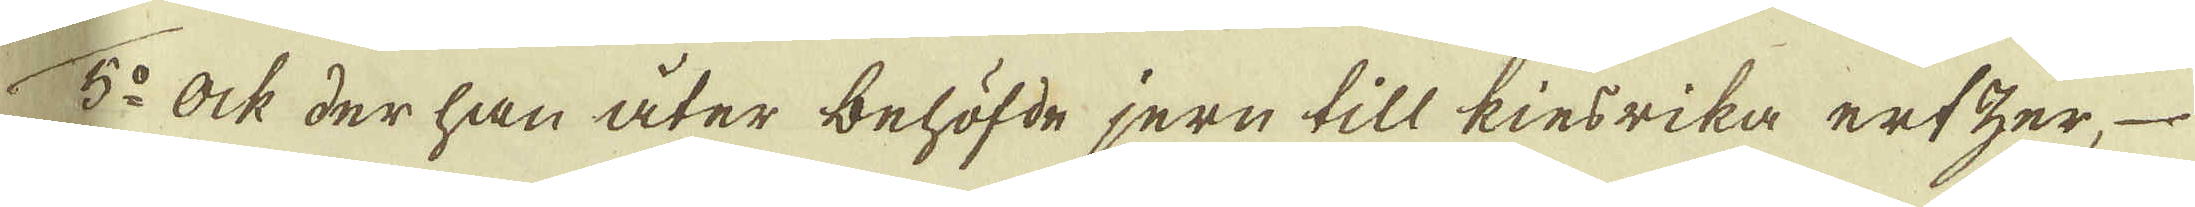5:o Ock der han åter behöfde jern till kiesrika ertzer,
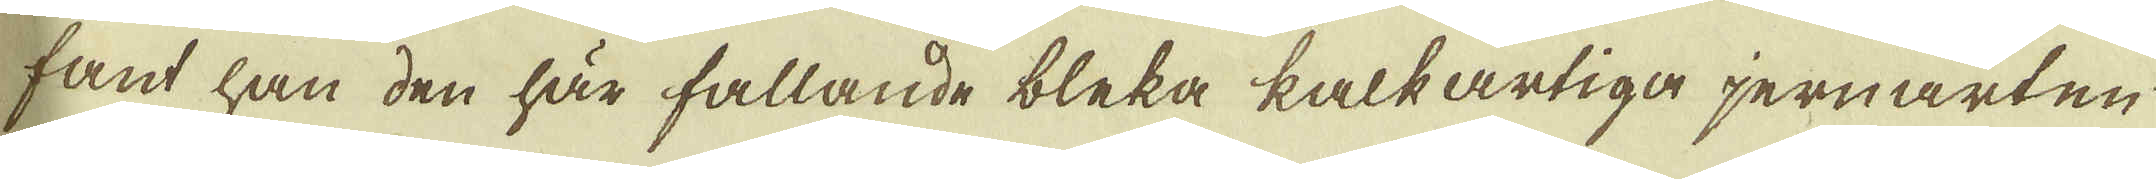fant han den här fallande bleka kalkartiga jernarten
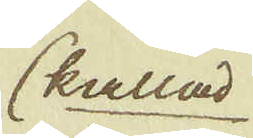(kallad
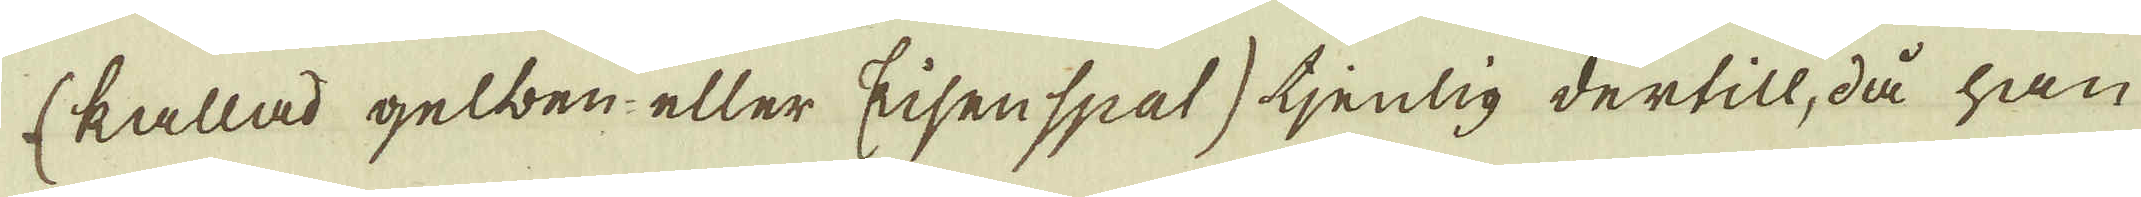(kallad gelben- eller Eijsen spat) tjenlig dertill, då han
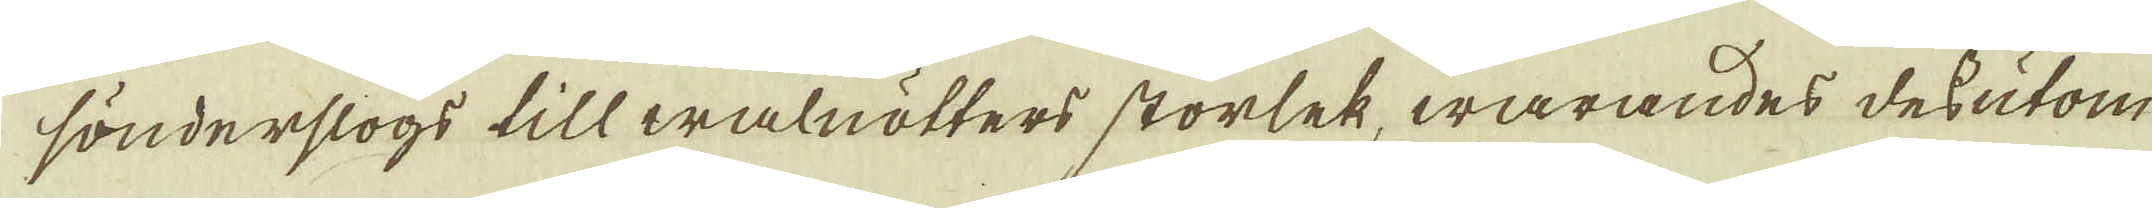sönderslogs till walnötters storlek, warandes dessutom
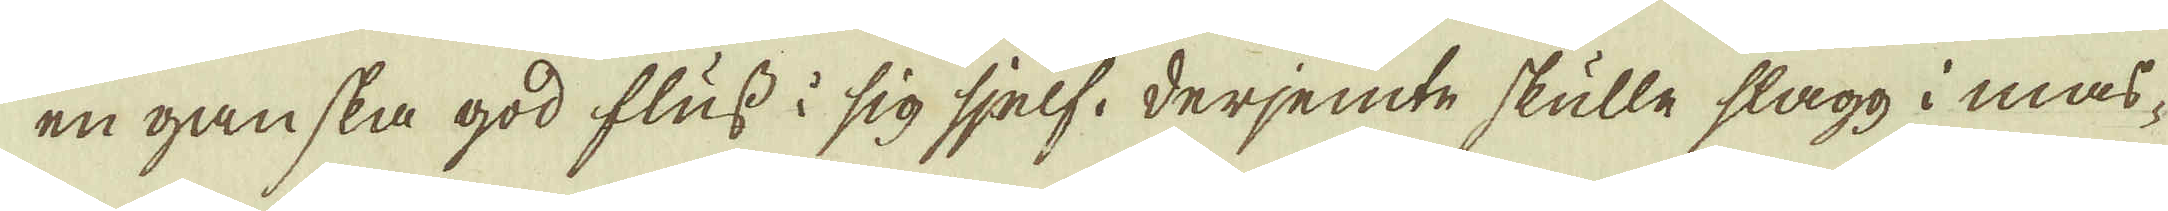en ganska god fluss i sig sjelf, derjemte skulle slagg i mas-
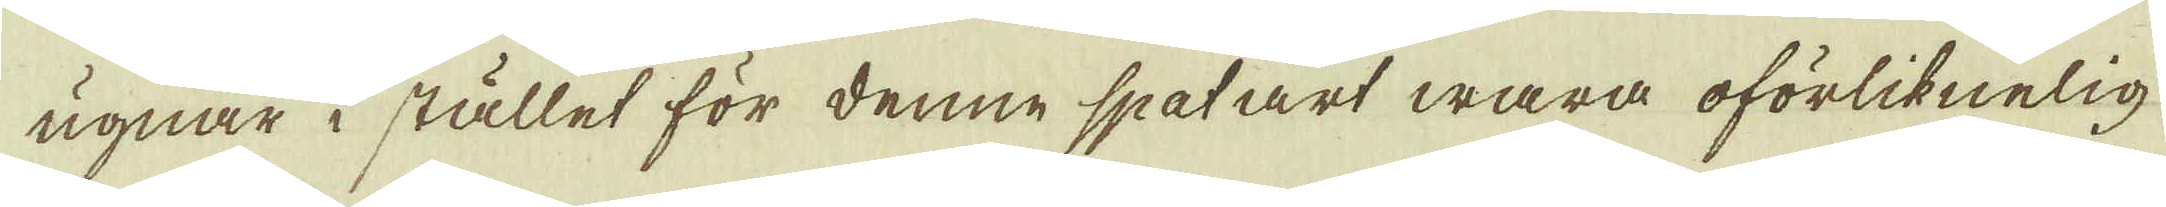ugnar i stället för denne spatart wara oförliknelig.
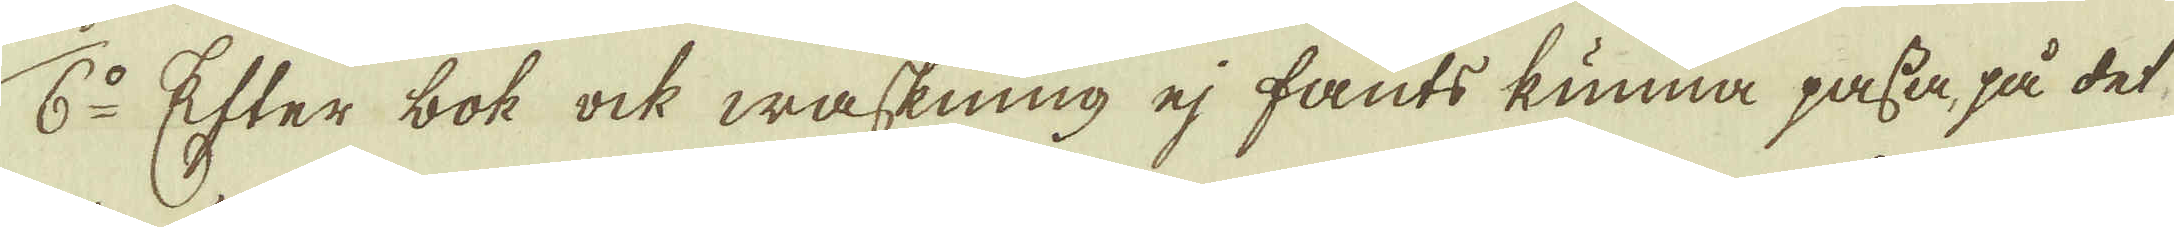6:o Efter bok ock waskning ej fants kunna passa, på det
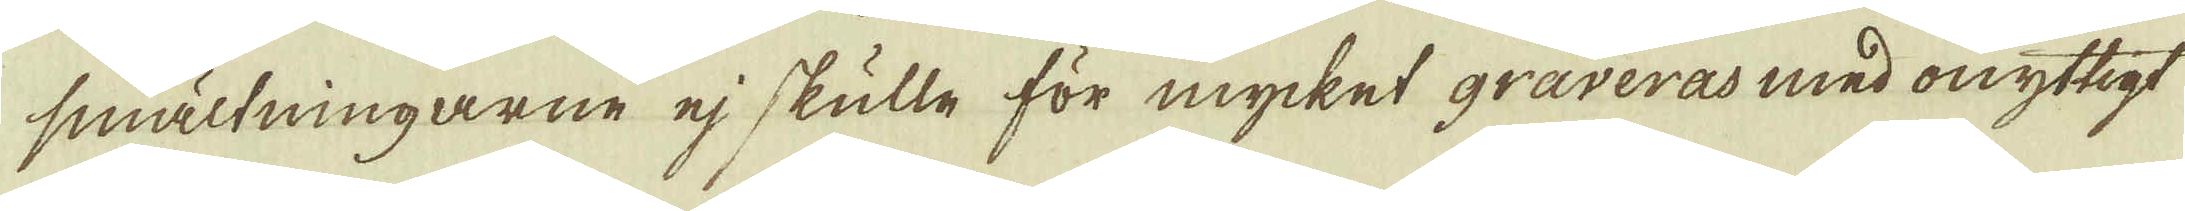smältningarne ej skulle för mycket graveras med onyttigt
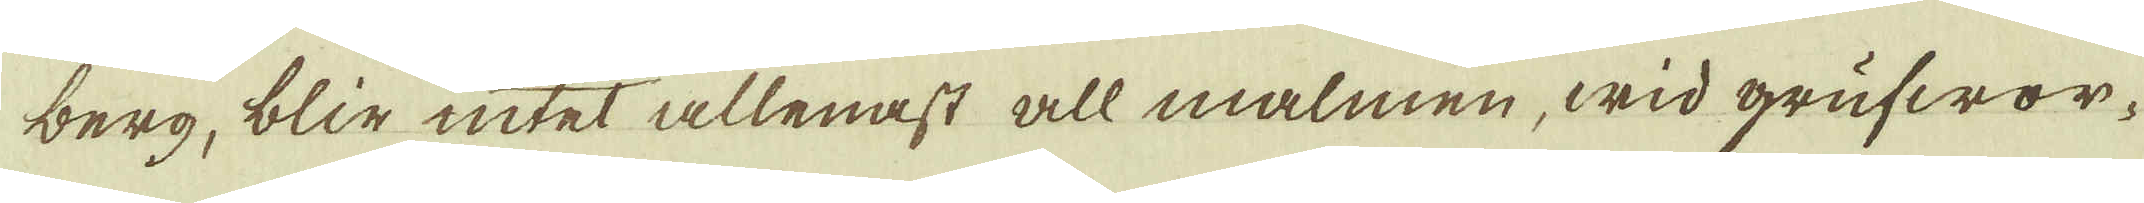berg, blir intet allenast all malmen, wid grufwor-
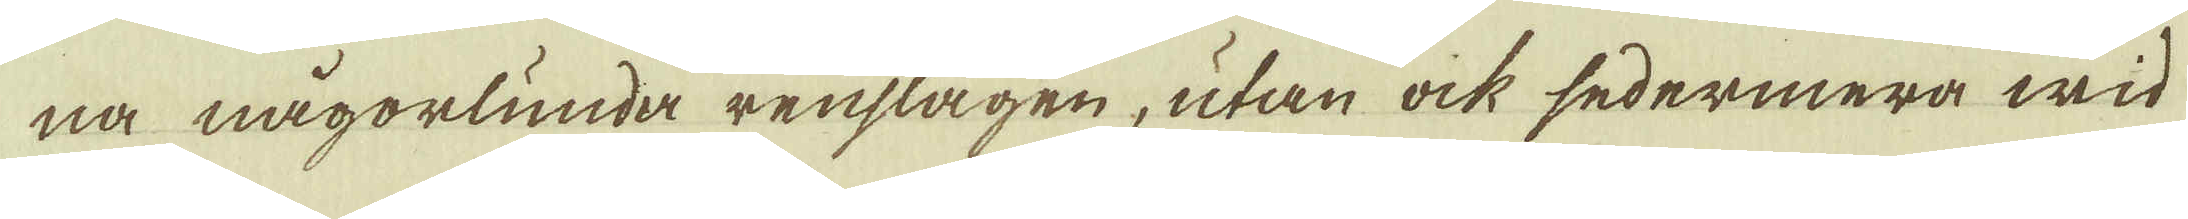na någorlunda renslagen, utan ock sedermera wid
